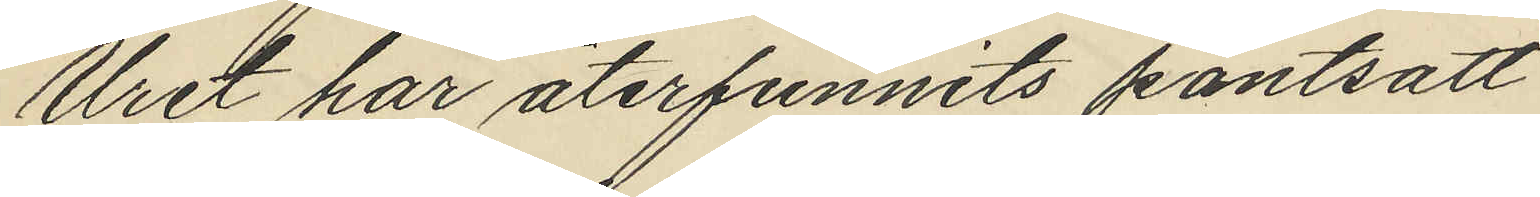Uret har återfunnits pantsatt
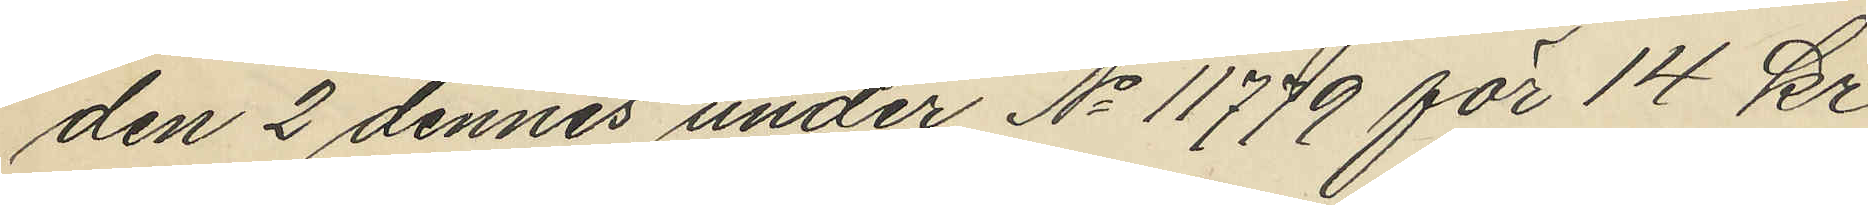den 2 dennes under No 11779 för 14 kr
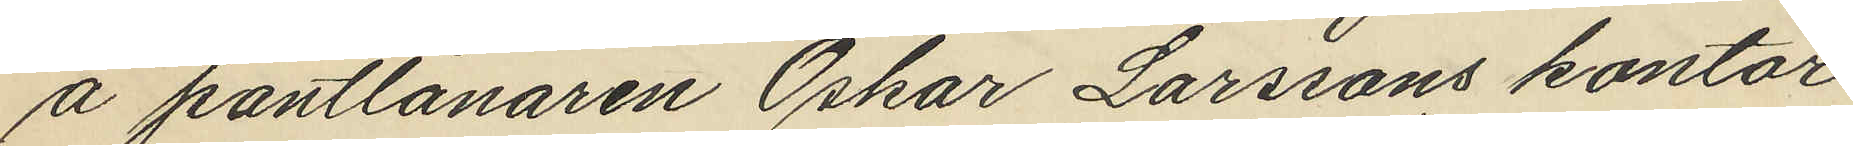å pantlånaren Oskar Larssons kontor
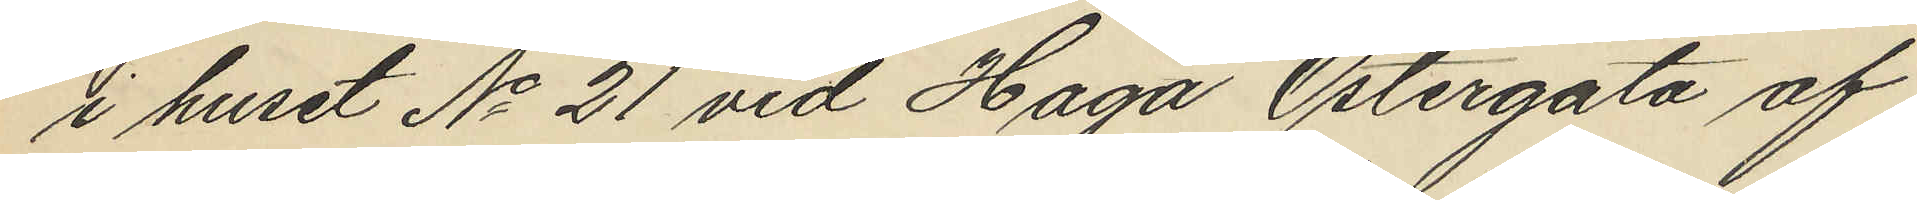i huset No 21 vid Haga Östergata af
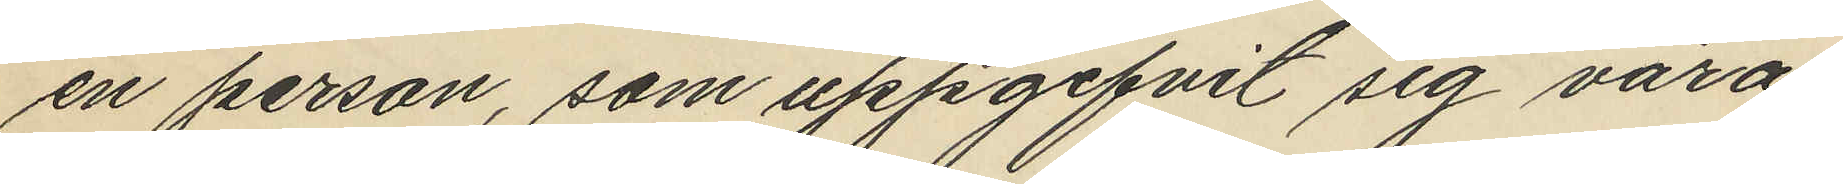en person, som uppgifvit sig vara
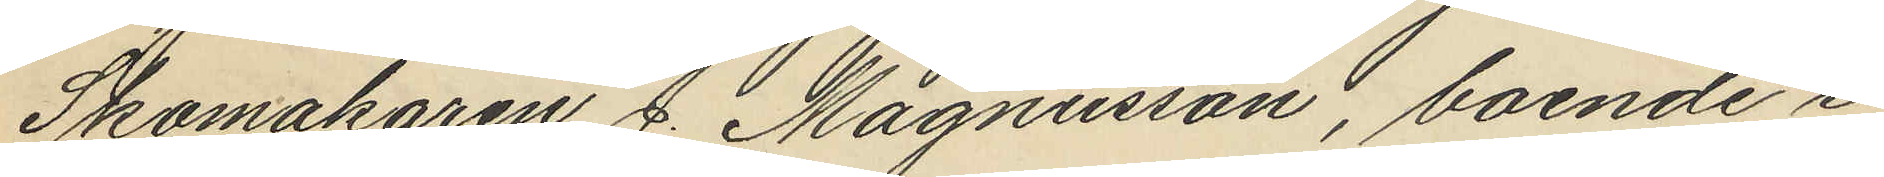Skomakaren J. Magnusson, boende i
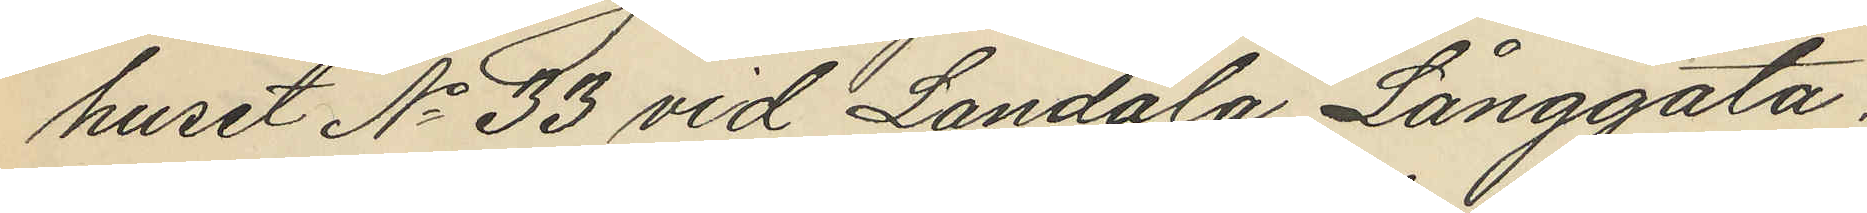huset No 33 vid Landala Långgata.
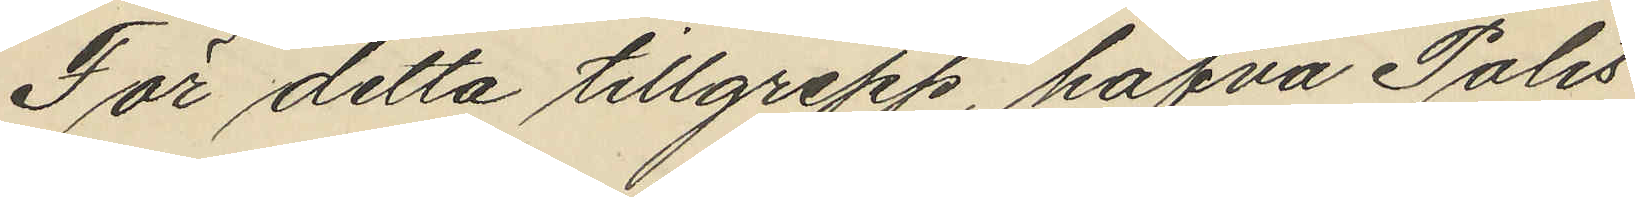För detta tillgrepp hafva Polis¬
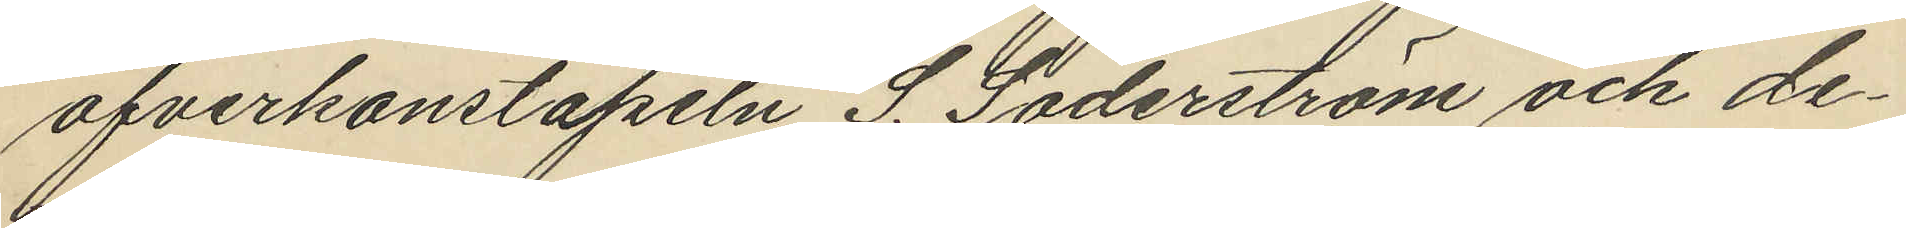öfverkonstapeln S. Söderström och de¬
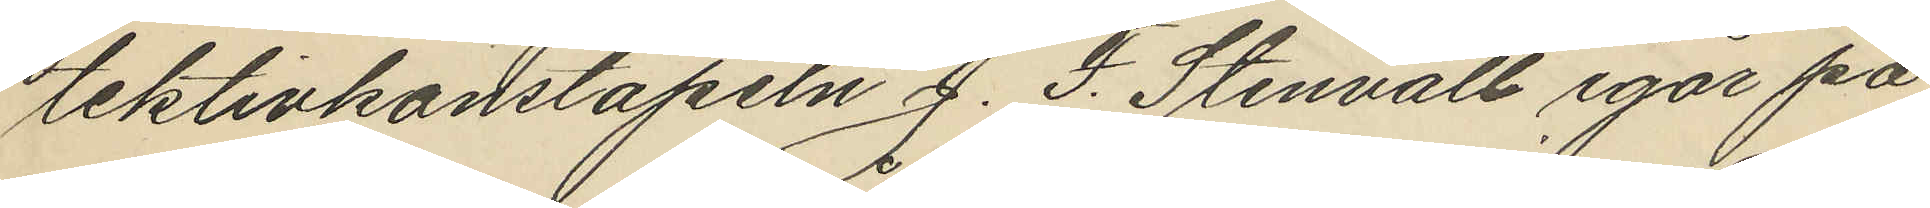tektivkonstapeln J. F. Stenvall igår på
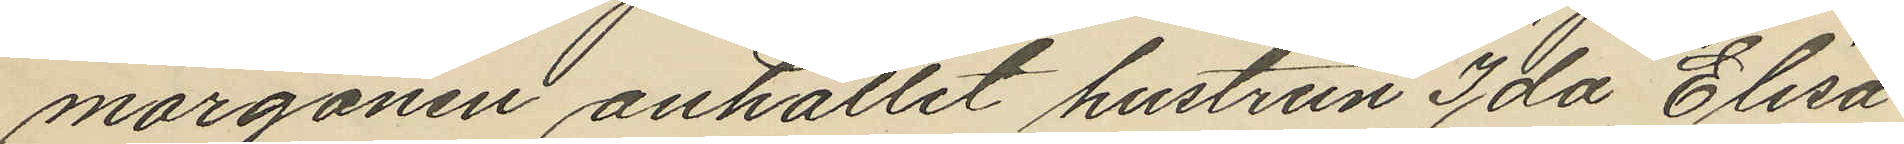morgonen anhållit hustrun Ida Elisa
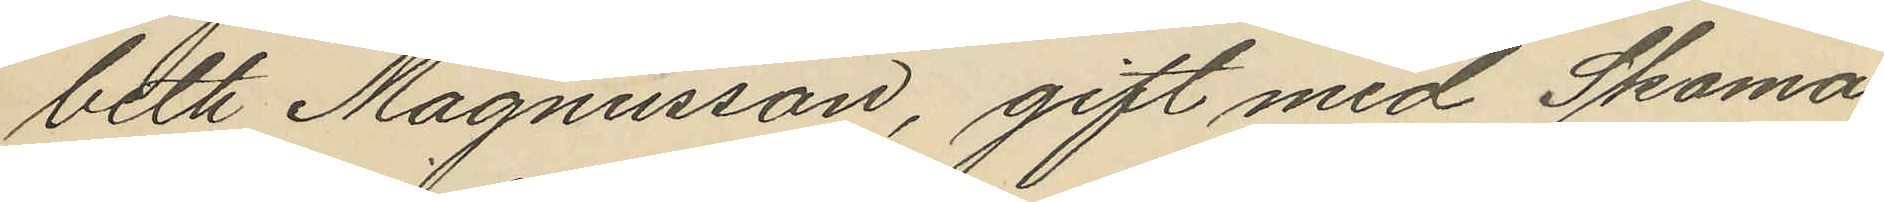beth Magnusson, gift med Skoma¬
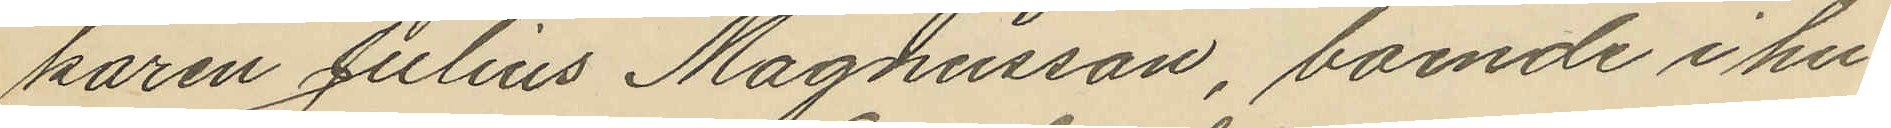karen Julius Magnusson, boende i hu¬
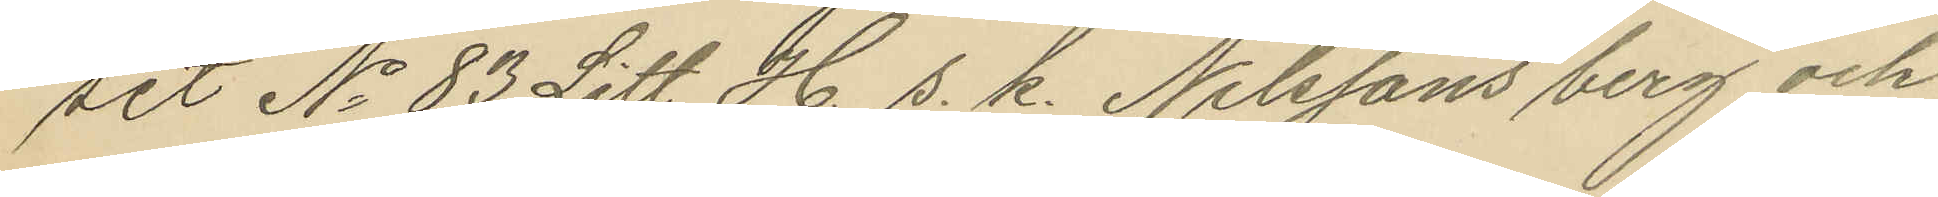ser No 83 Litt H. s. k. Nilssons berg och
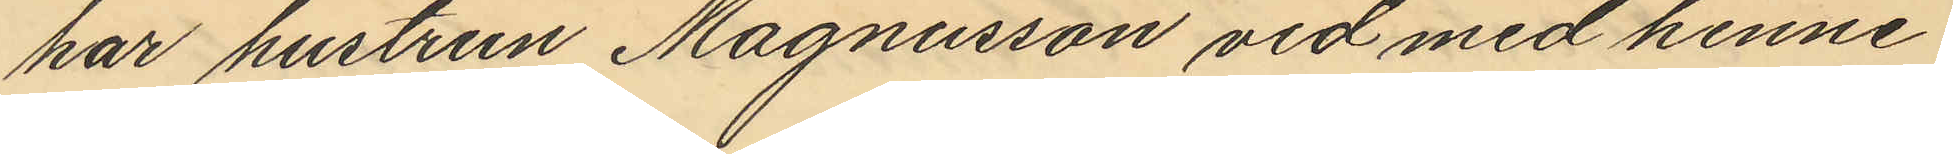har hustrun Magnusson vid med henne
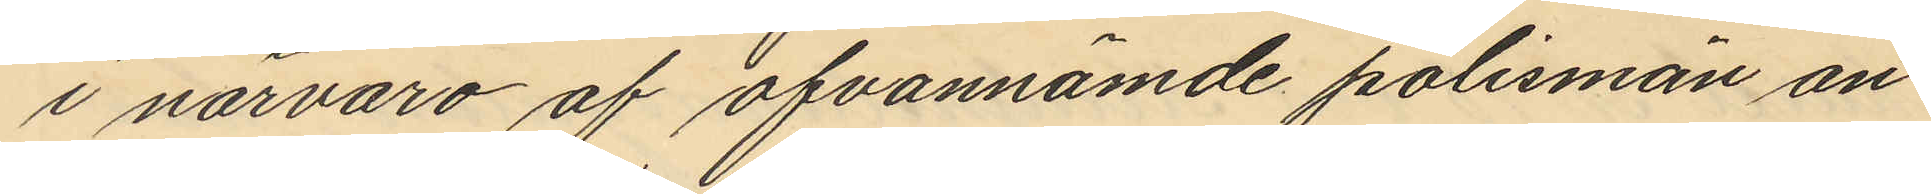i närvaro af ofvannämde polismän an¬
